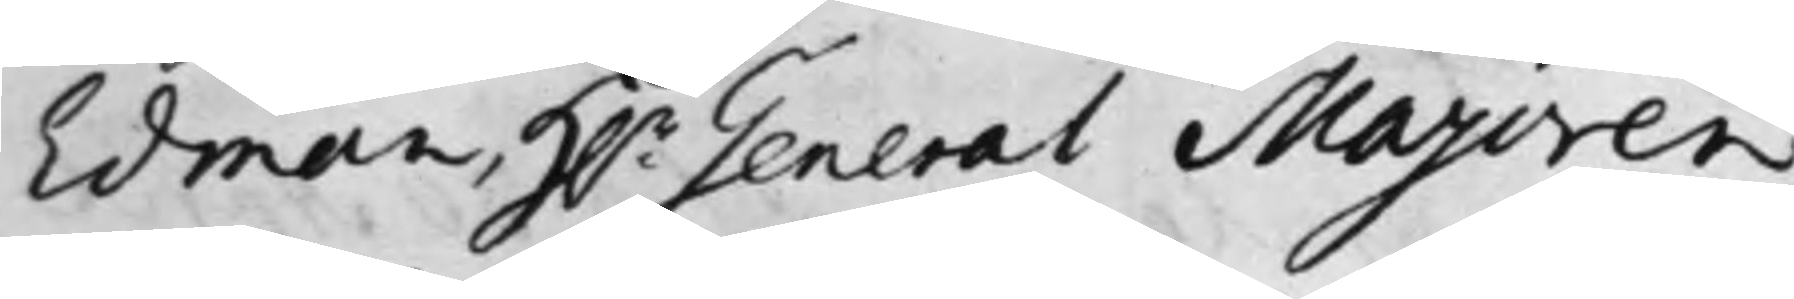Edman, H:r General Majoren
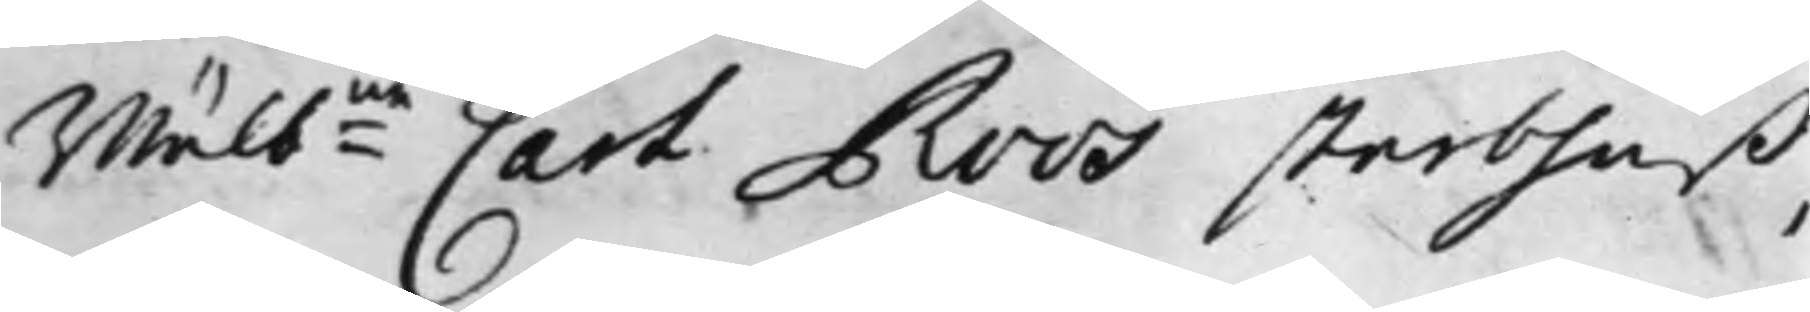Wälb:ne Carl Roos sterbhuß,
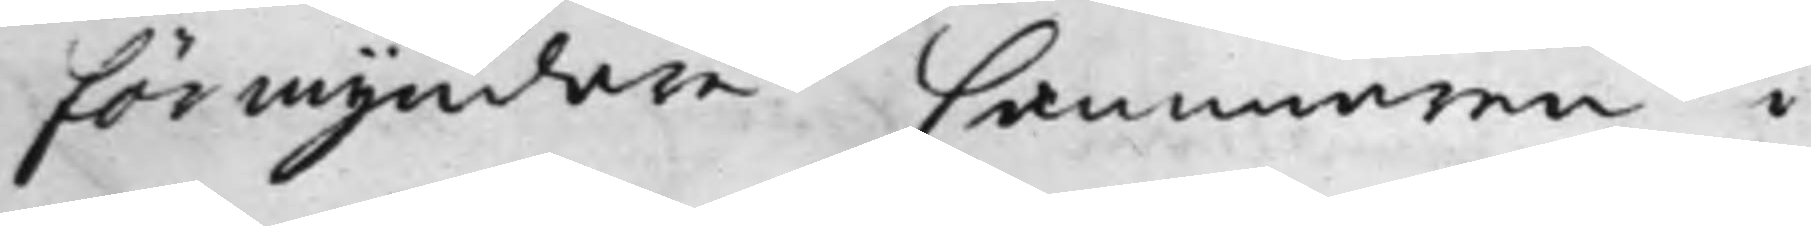Förmyndare Cammereren i
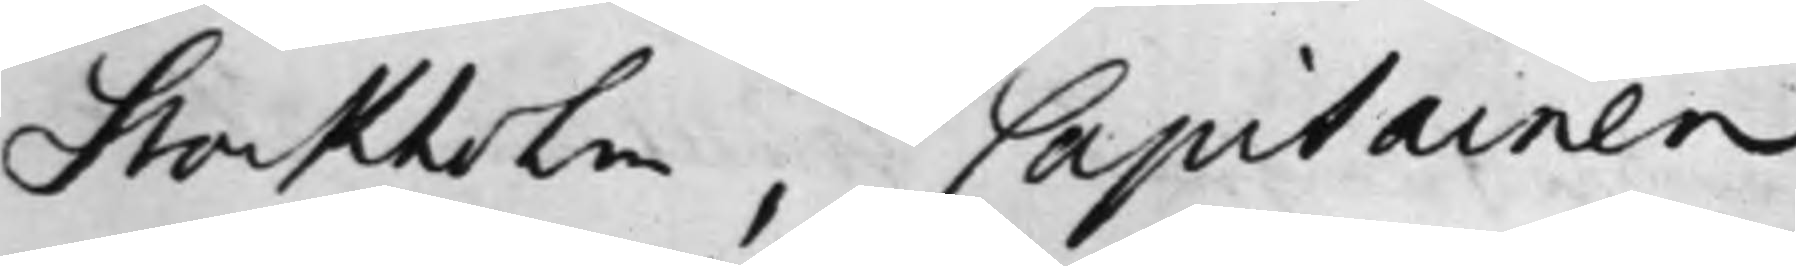Stockholm, Capitainen
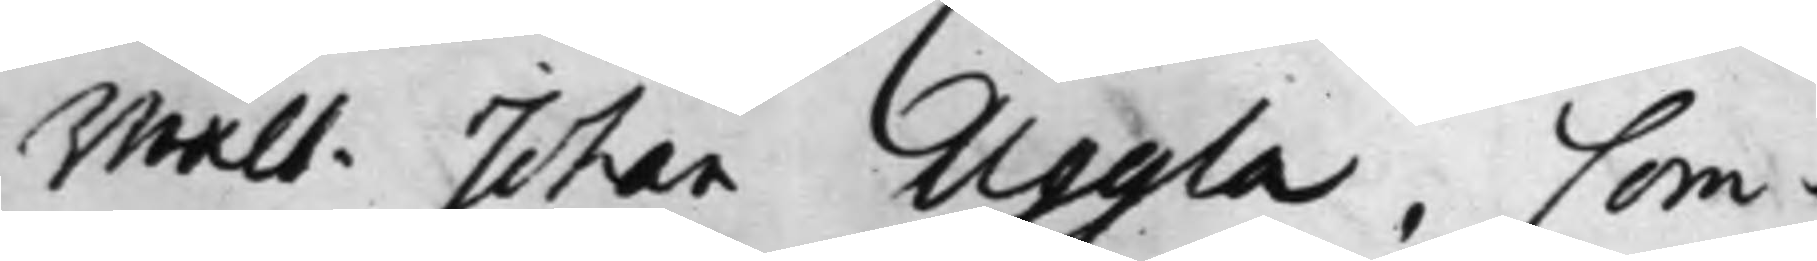Wälb. Johan Uggla, Com¬
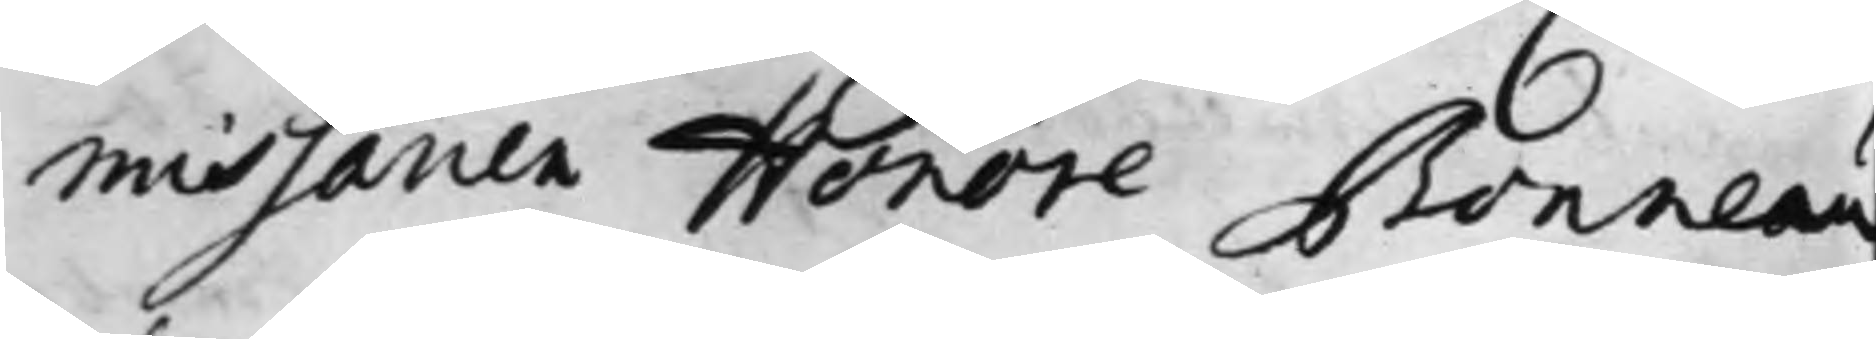missarien Honoré Bonneau
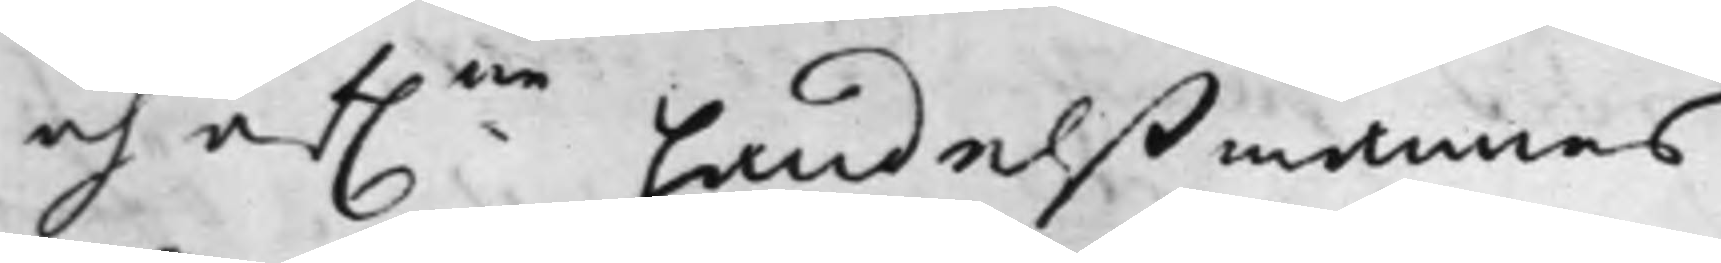och af:ne handelßmannens
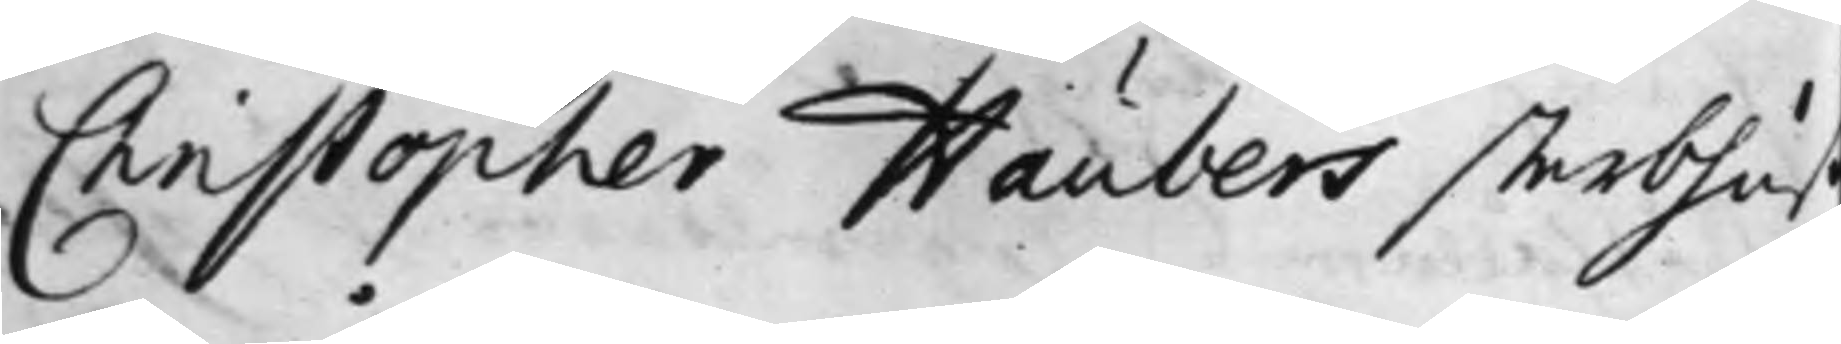Christopher Haubers sterbhu
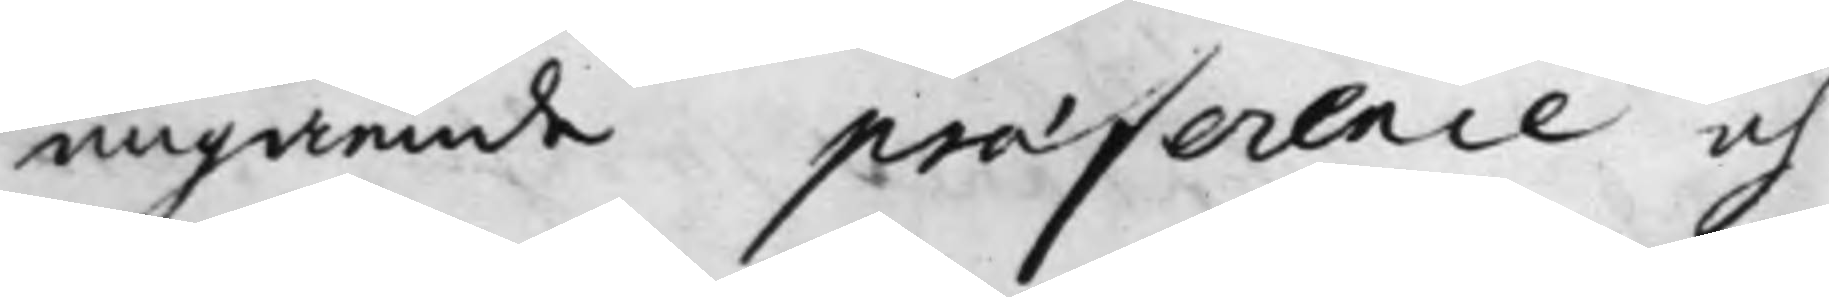angående praeference och
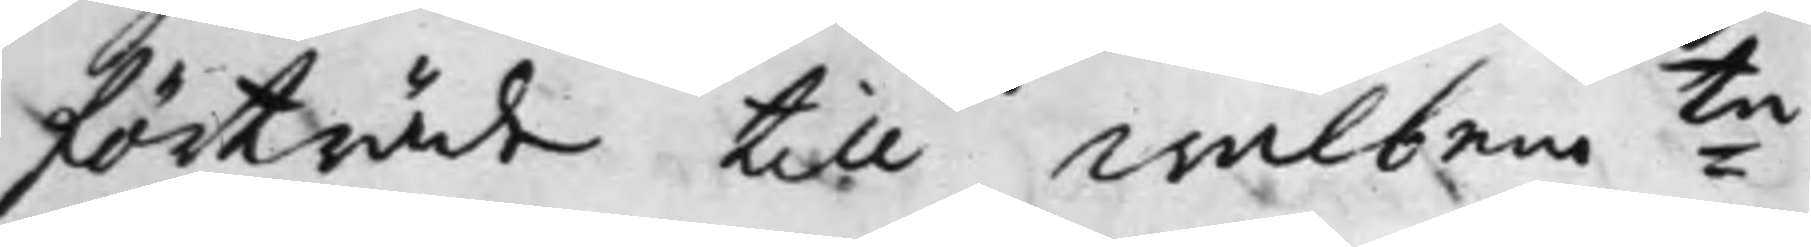förträde till Wälbem:te
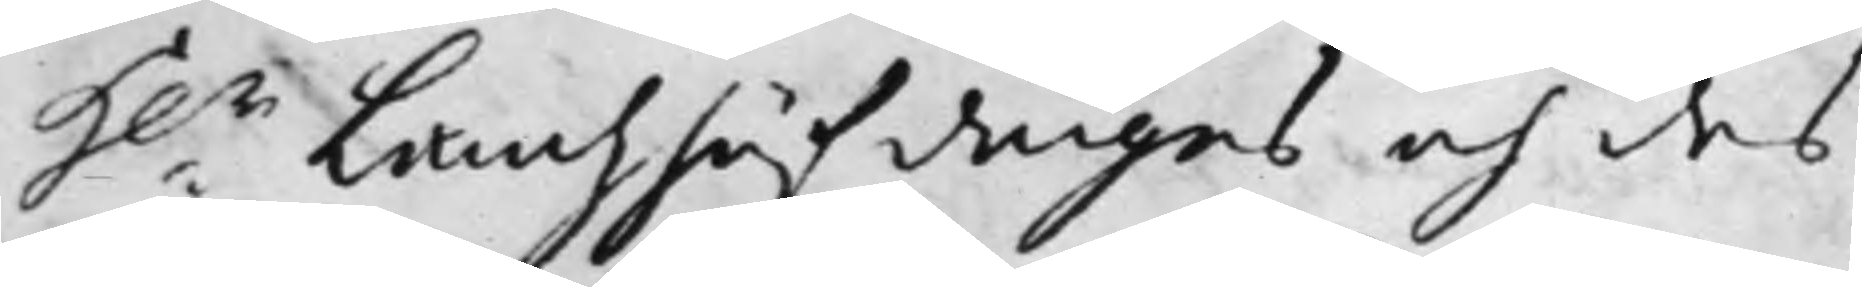H:r Landzhöfdinges och des
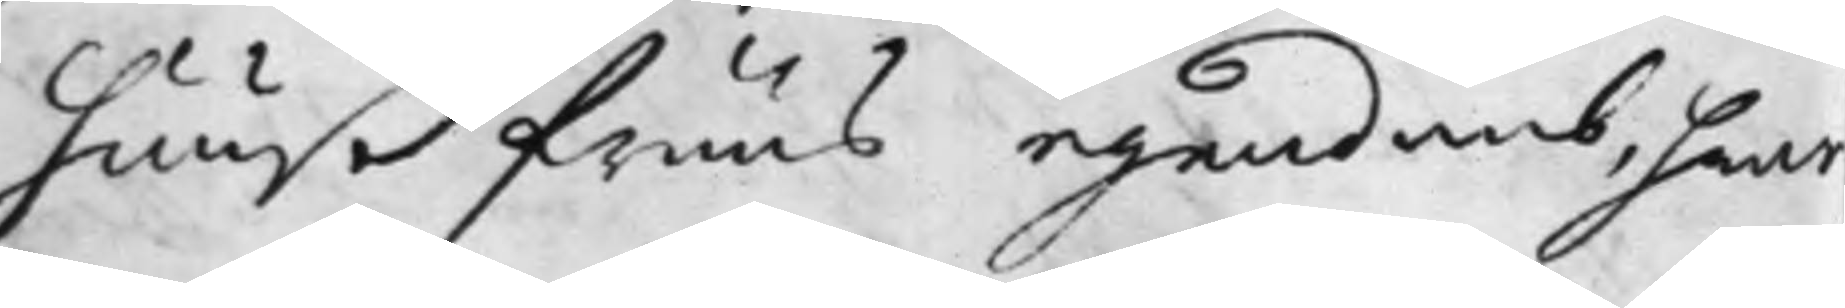huußfruus egendomb, hwar¬
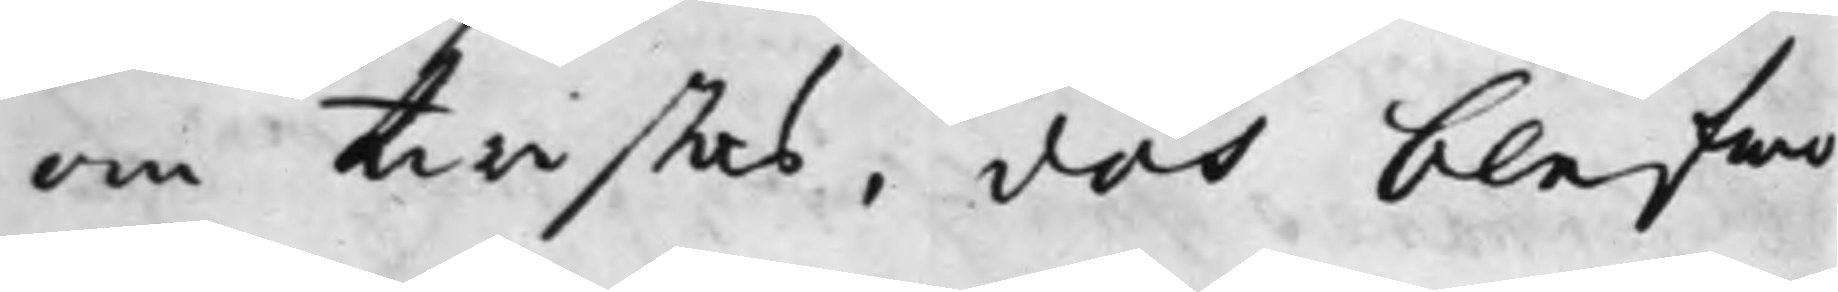om twistas, doch blefwo
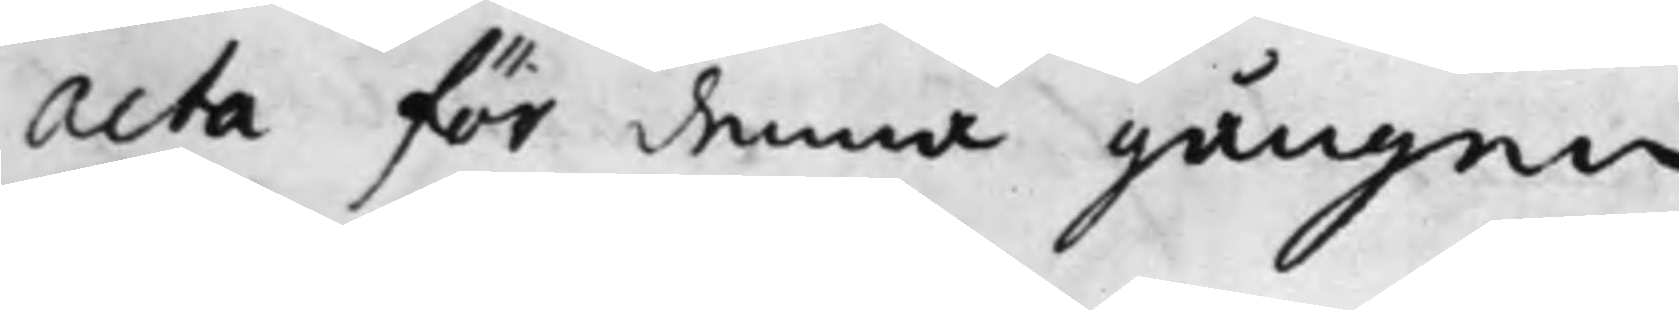Acta för denna gången
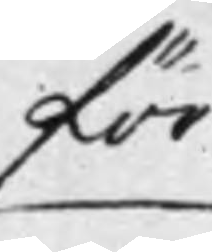för
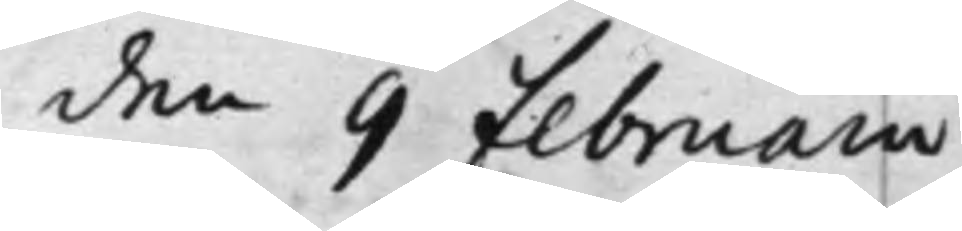den 9 Februarii
